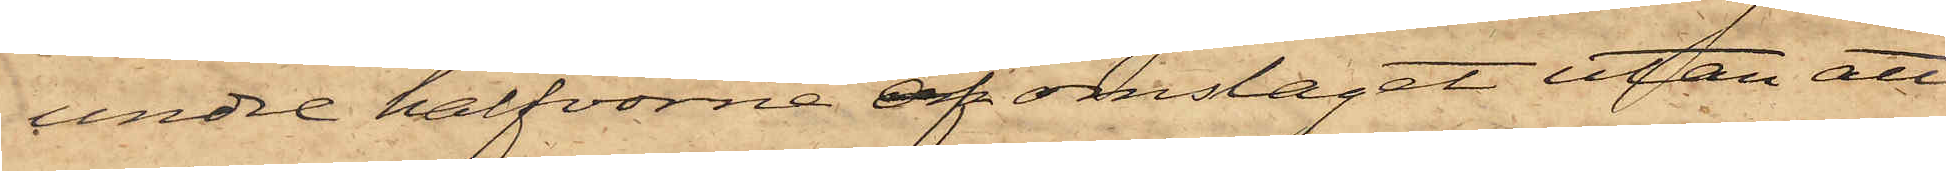undre halfvorna af omslaget utan att
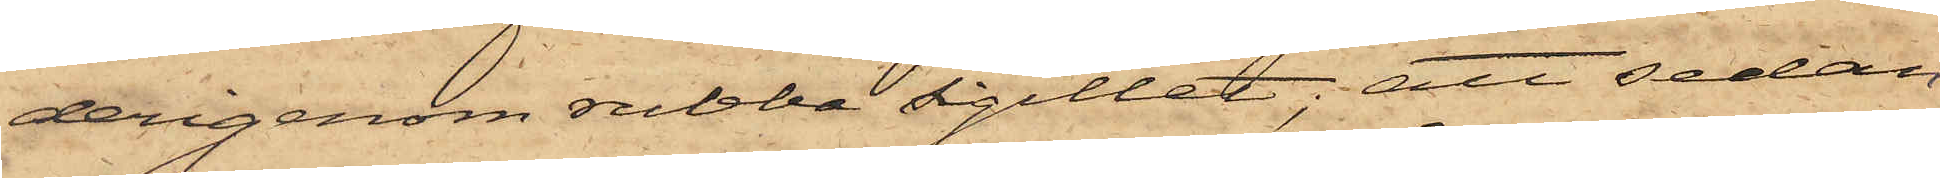derigenom rubba sigillet; att sedan
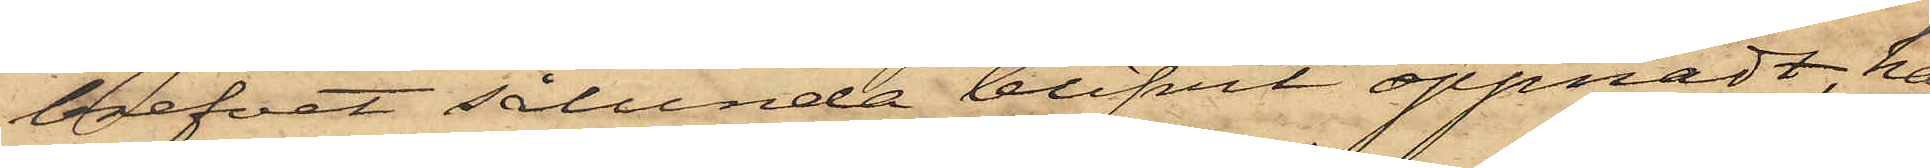brefvet sålunda blifvit öppnadt, han
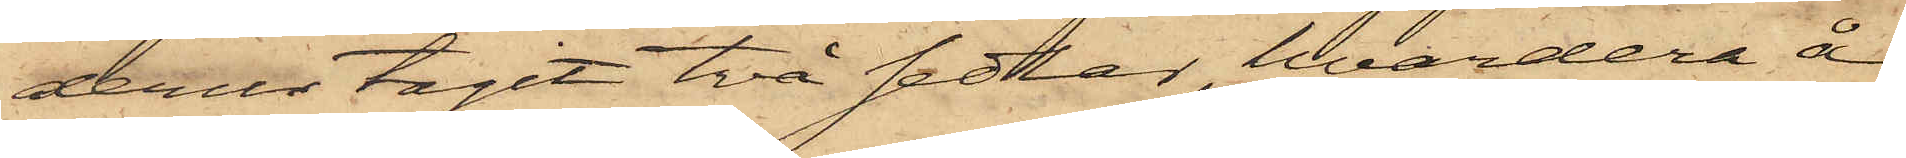derur tagit två sedlar, hvardera å
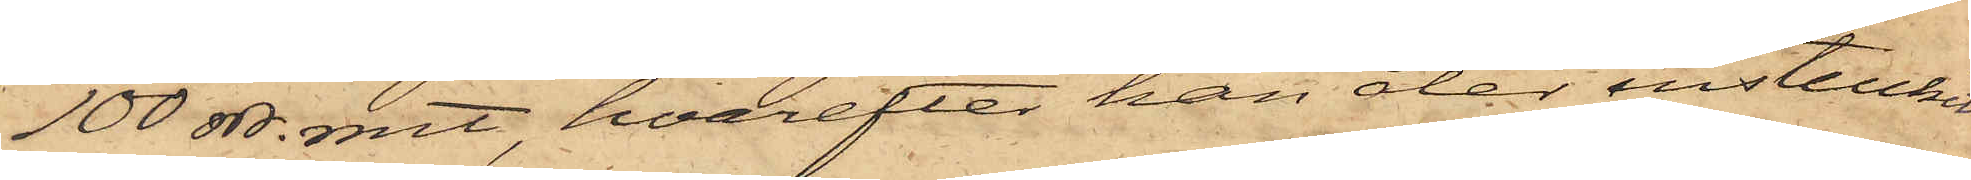100 rdr. rmt, hvarefter han åter instuckit
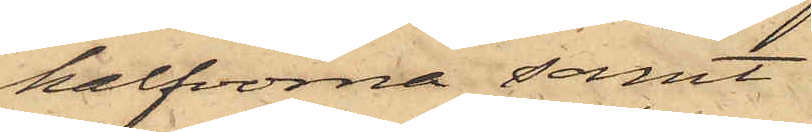halfvorna samt
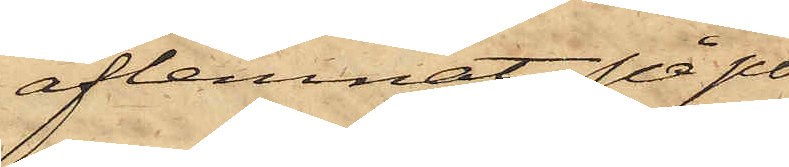aflemnat på po¬
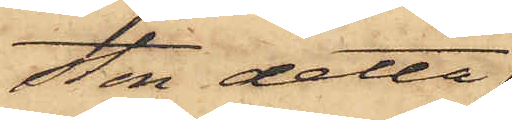sten detta
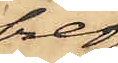bref
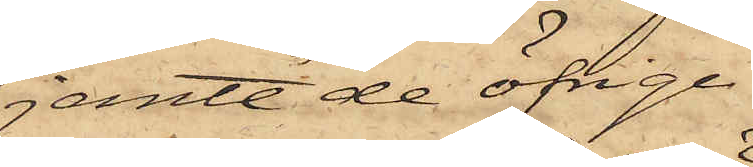jemte de öfrige;
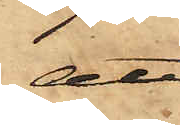att
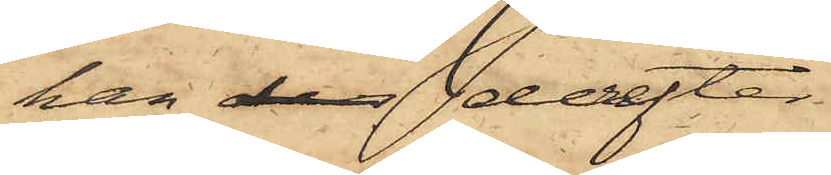han der derefter
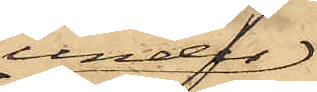under
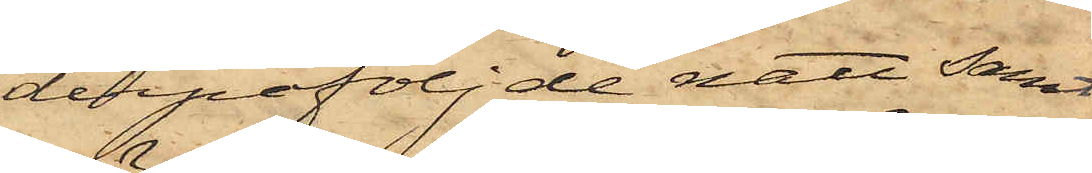derpåföljde natt samt
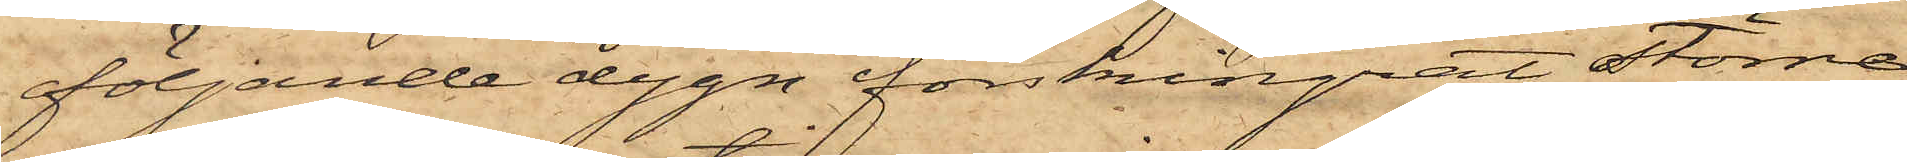följande dygn förskingrat större
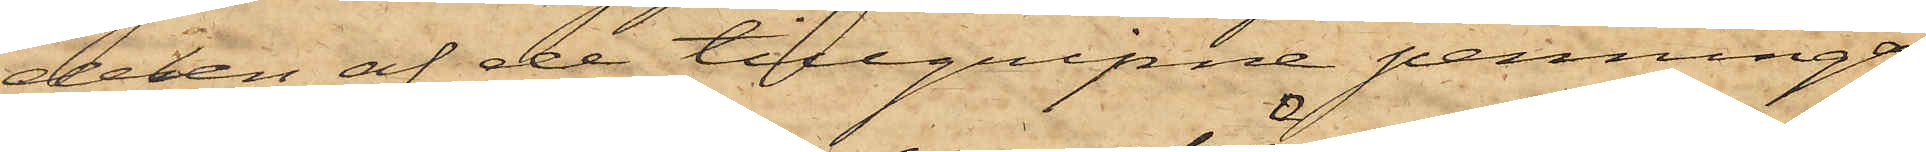delen af de tillgripne penningar¬
